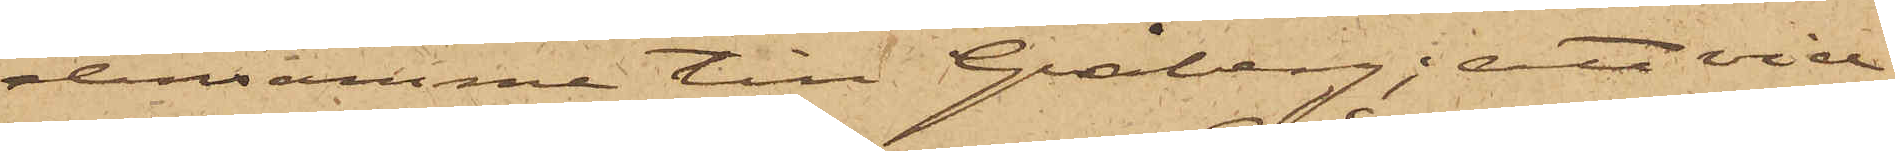densamme till Gråberg; att vid
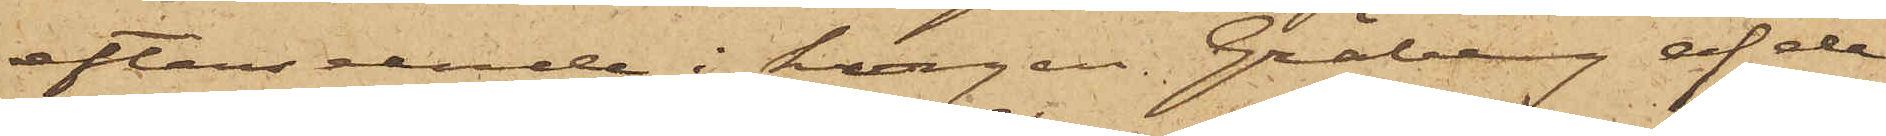efterseende i korgen Gråberg af de
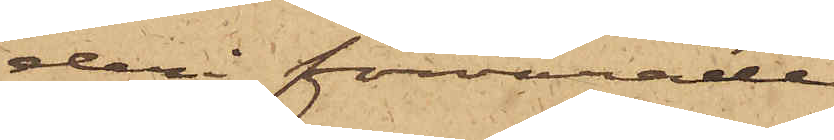deri förvarade
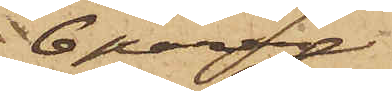6 paren
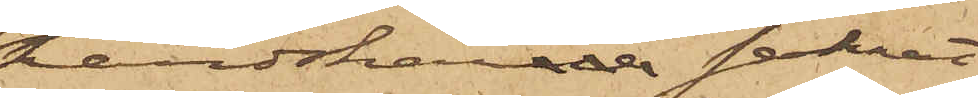handskarne saknat
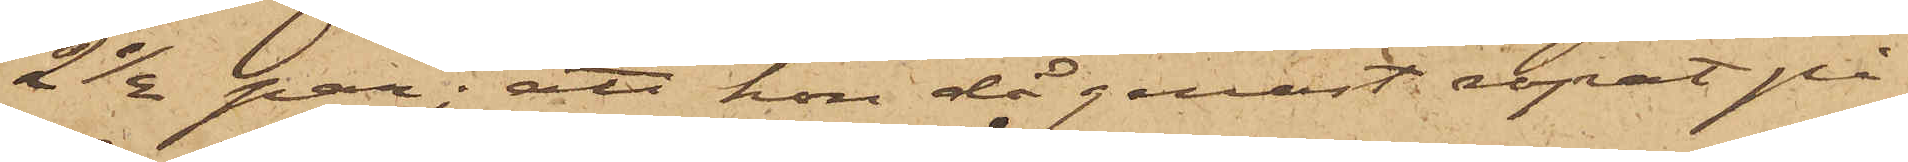2 1/2 par; att hon då genast ropat på
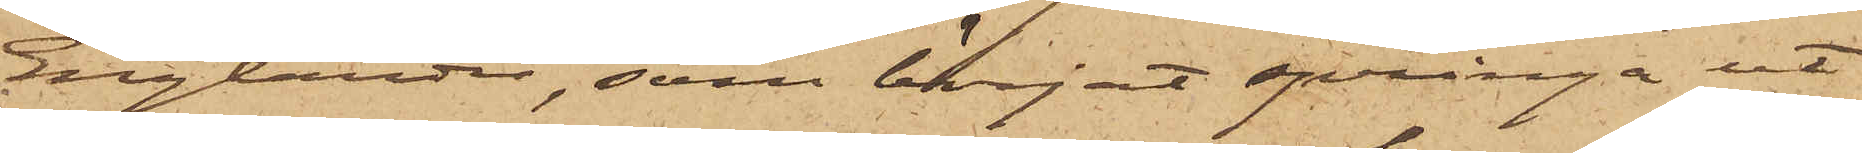Englander, som börjat springa ut
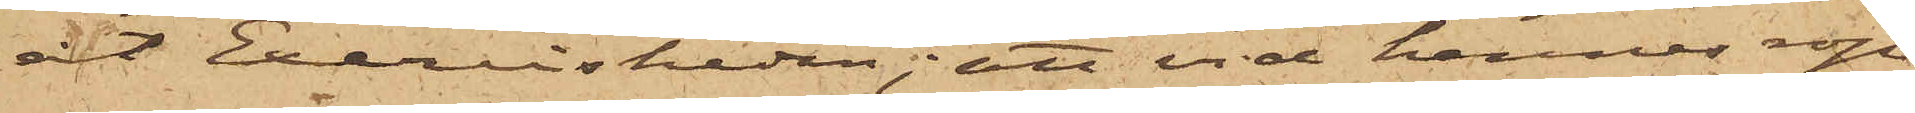åt Exercisheden; att vid hennes rop
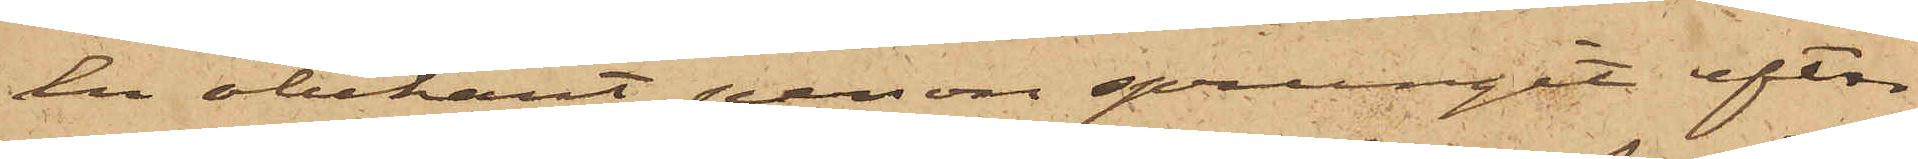en obekant person sprungit efter
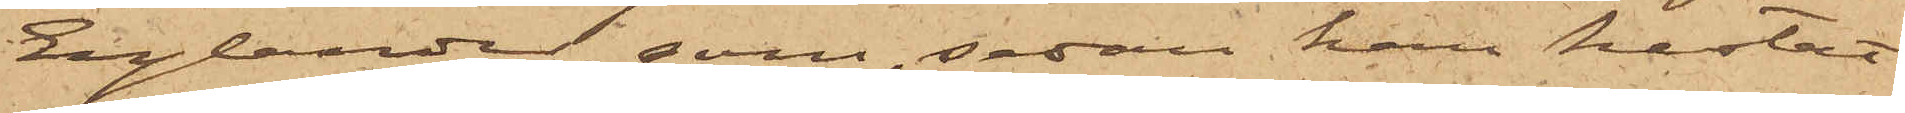Englander, som, sedan han kastat
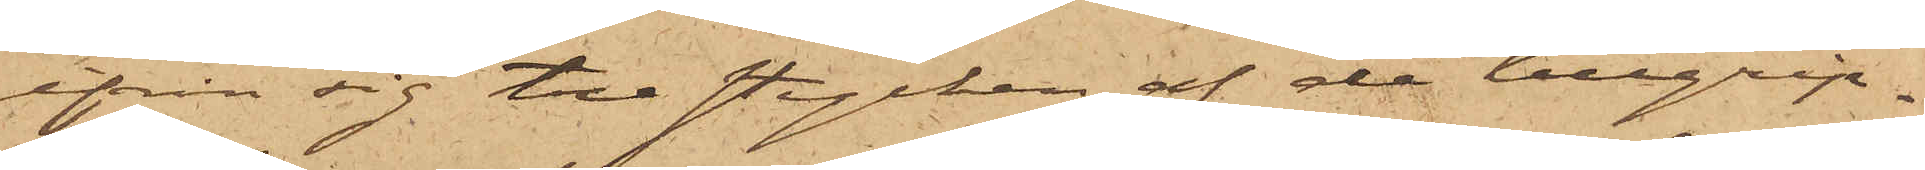ifrån sig tre stycken af de tillgrip¬
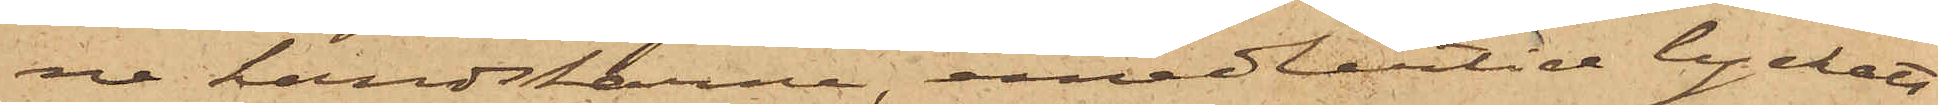ne handskarne, emedlertid lyckats
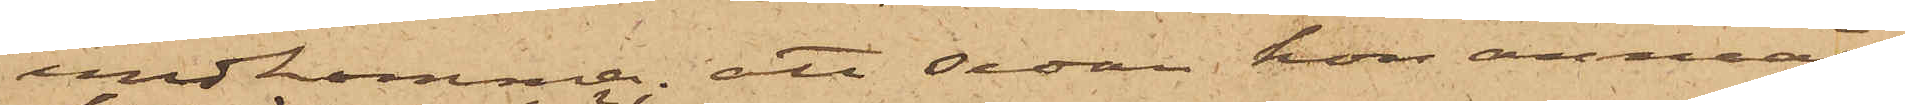undkomma; att sedan hon anmält
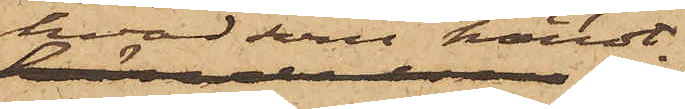hvad händt
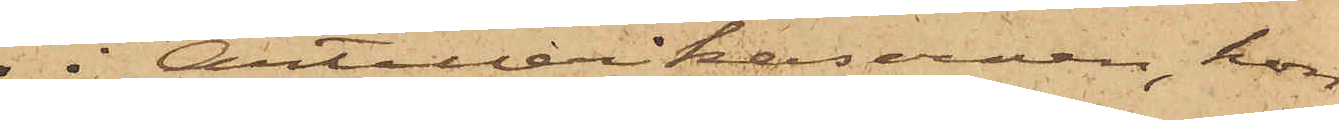i Artillerikasernen, hon
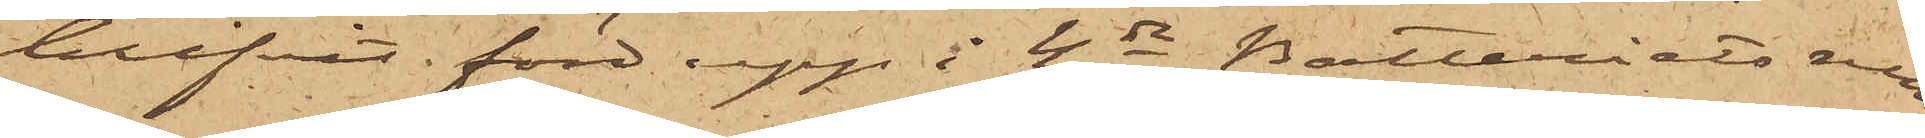blifvit förd upp å 4de Batteriets rum
